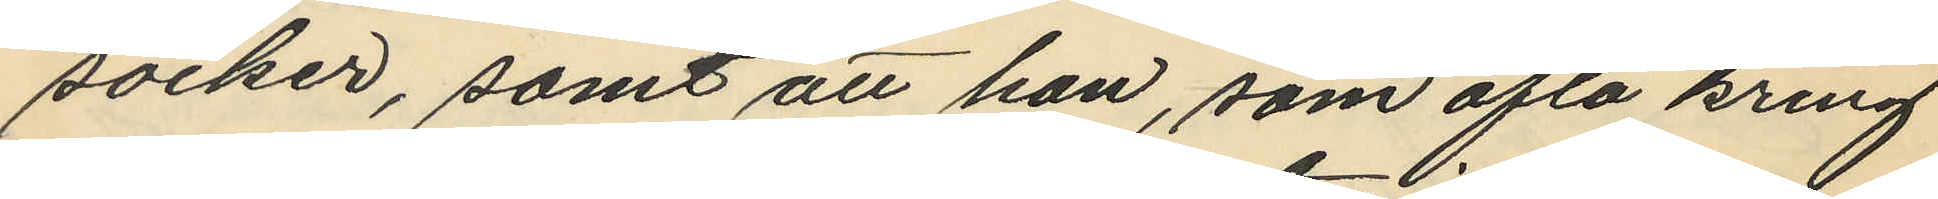socker, samt att han, som ofta kring
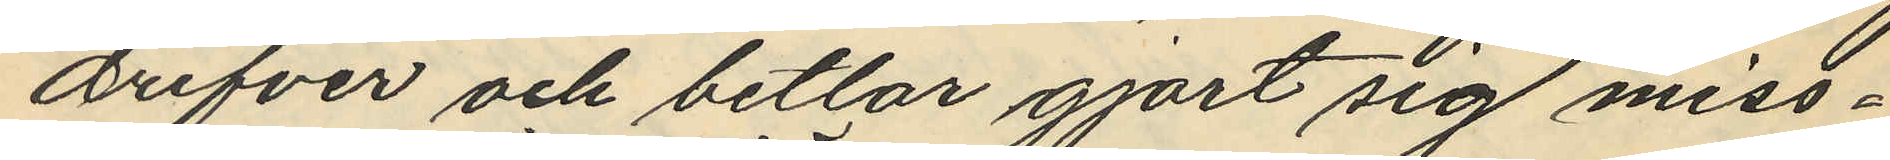drifver och betlar gjort sig miss¬
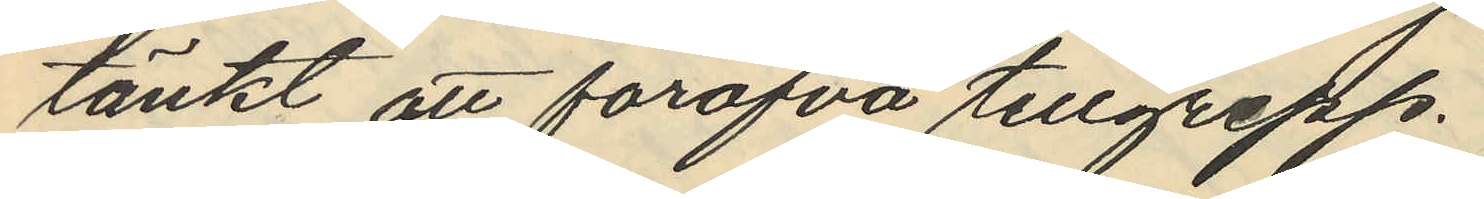tänkt att föröfva tillgrepp.
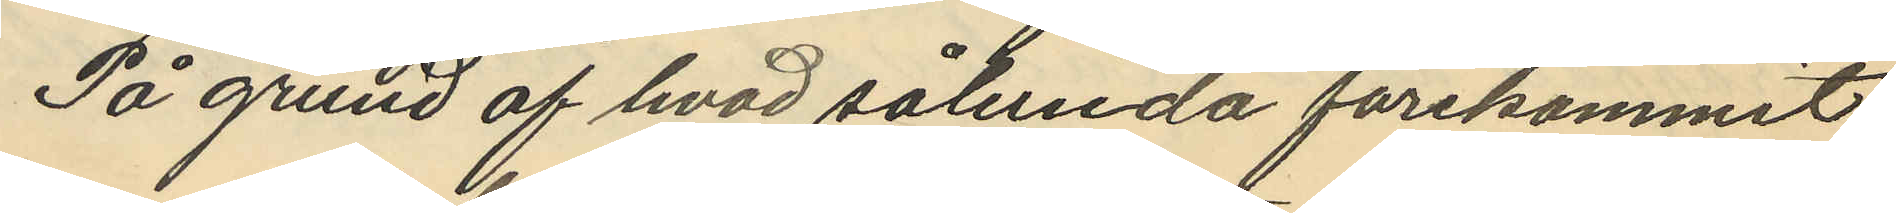På grund af hvad sålunda förekommit
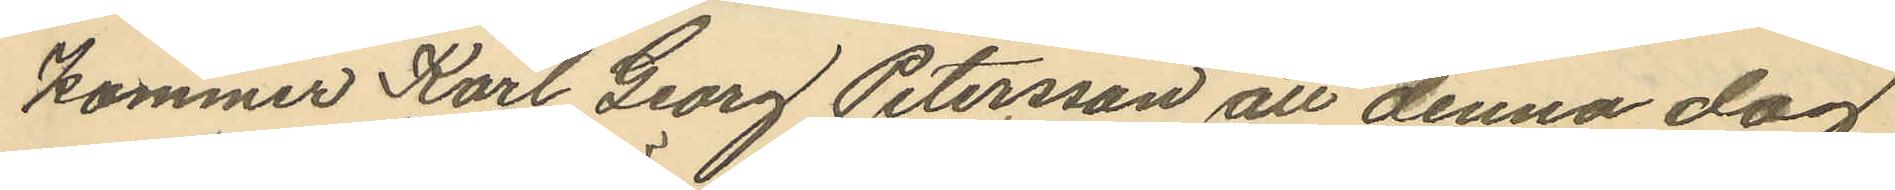kommer Karl Georg Petersson att denna dag
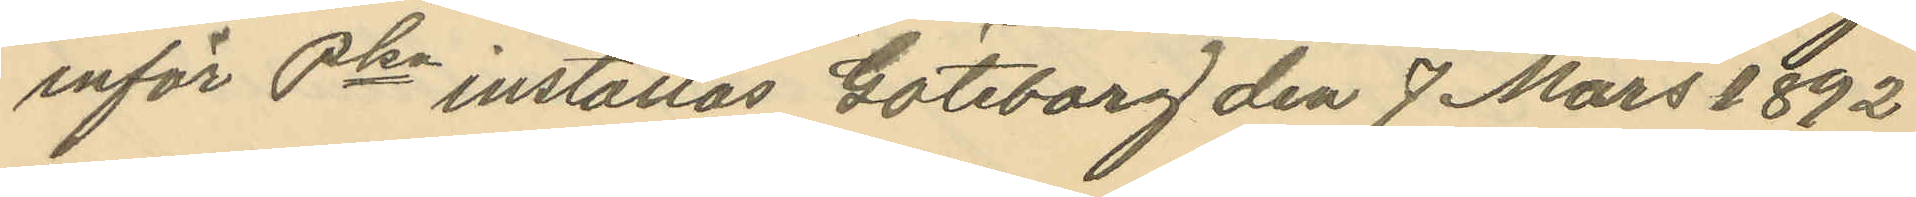inför Pkn inställas Göteborg den 7 Mars 1892
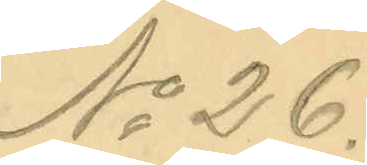No 26.
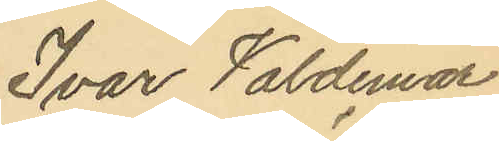Ivar Valdemar
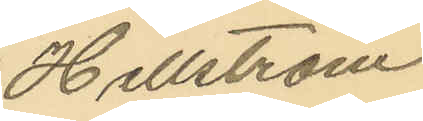Hellström
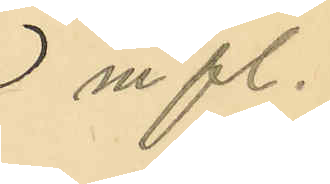m fl.
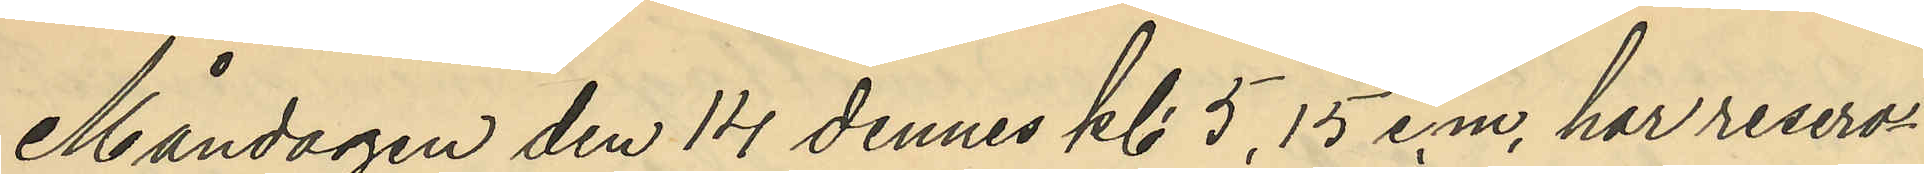Måndagen den 14 dennes kl. 5,15 e.m. har reserv¬
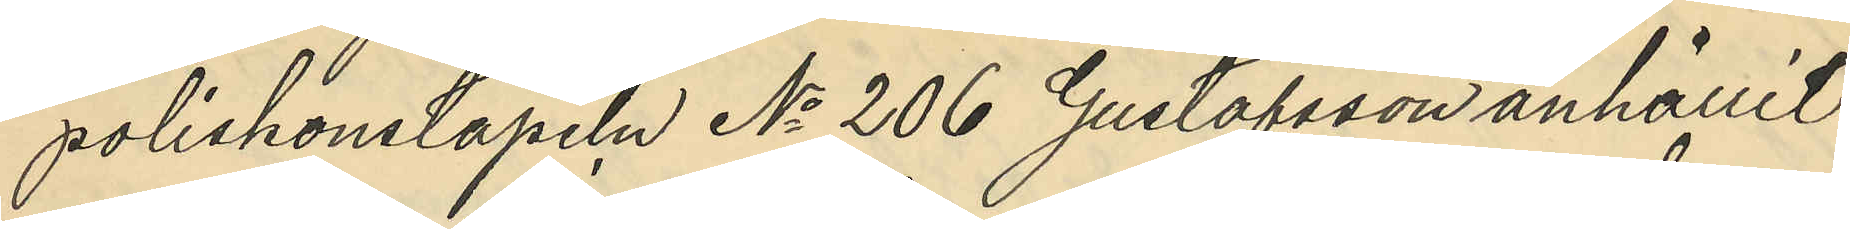poliskonstapeln No 206 Gustafsson anhållit
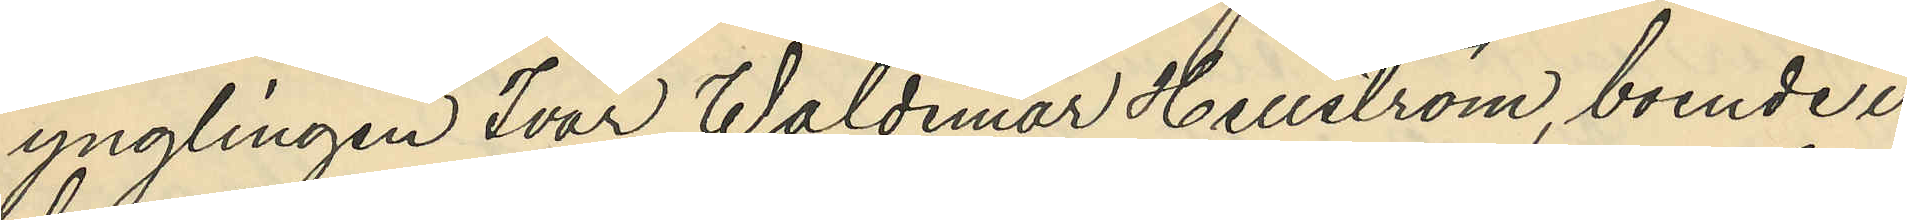ynglingen Ivar Waldemar Hellström, boende i
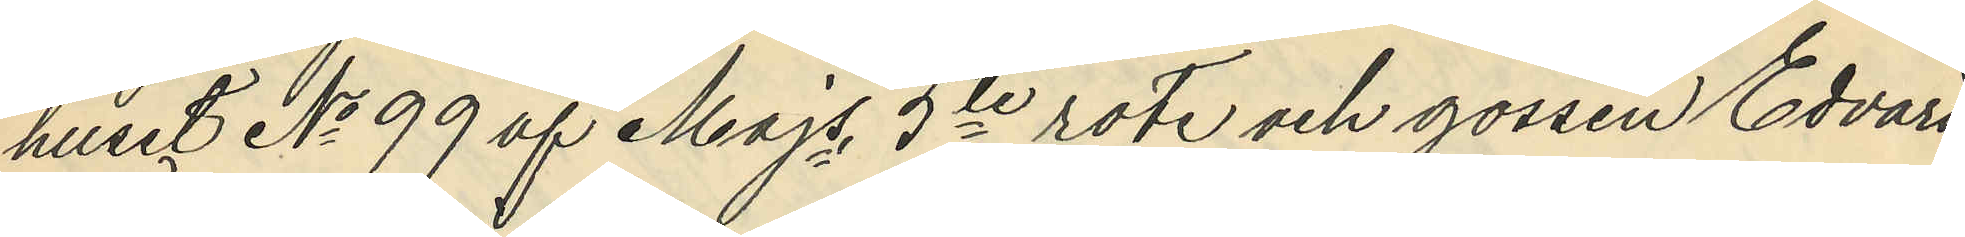huset No 99 af Majs 5te rote och gossen Edvard
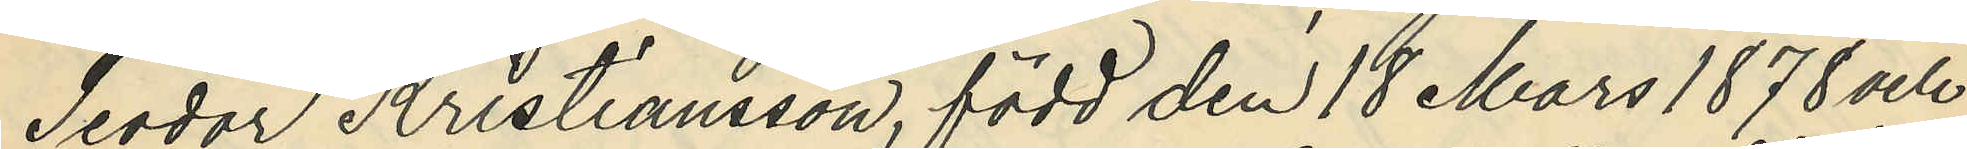Teodor Kristiansson, född den 18 Mars 1878 och
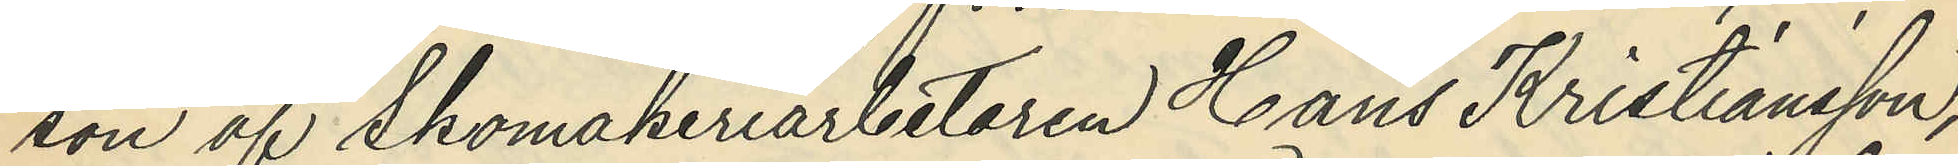son af Skomakeriarbetaren Hans Kristiansson,
